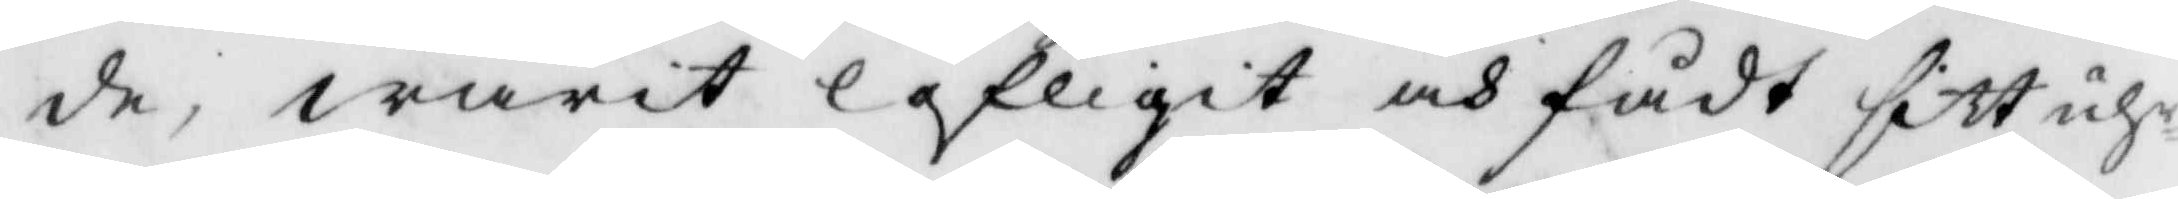de, warit lofligit och fådt sitt uhr¬
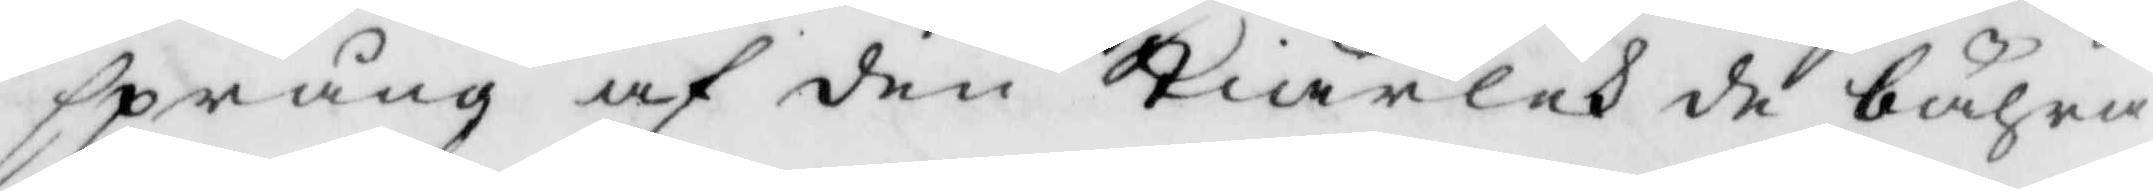sprung af den Kiärlek de bähra
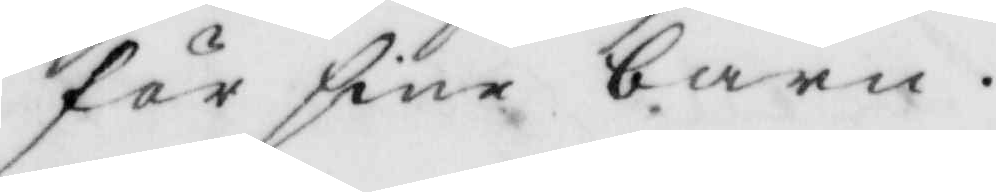för sine barn.
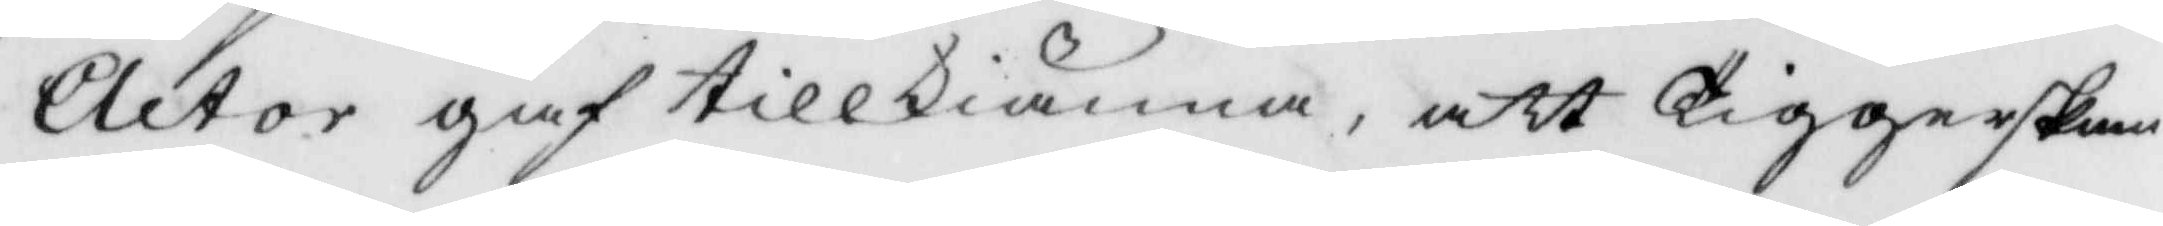Actor gaf tillkiänna, att Tiggerskan
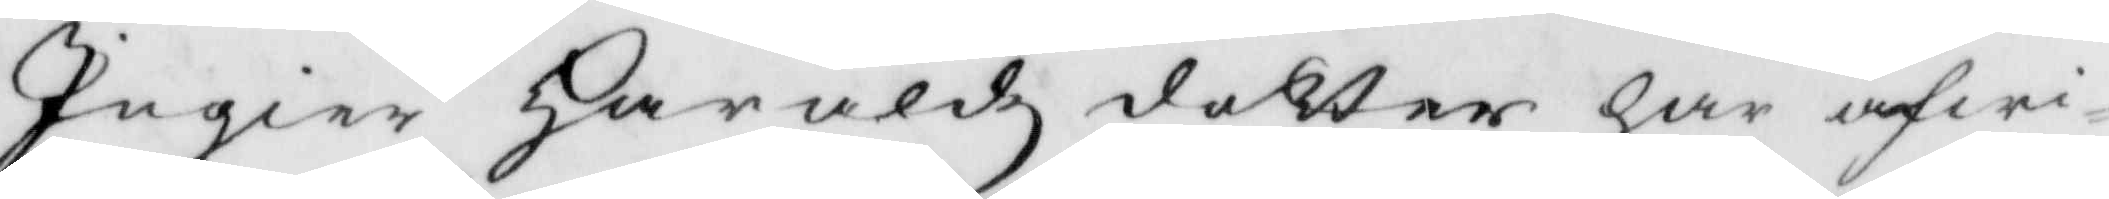Ingier Haraldz dotter har afwi¬
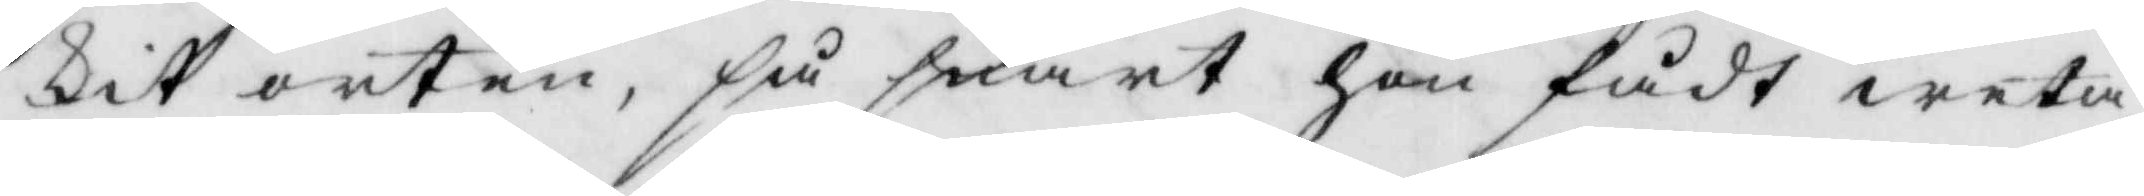kit orten, så snart hon fådt weta
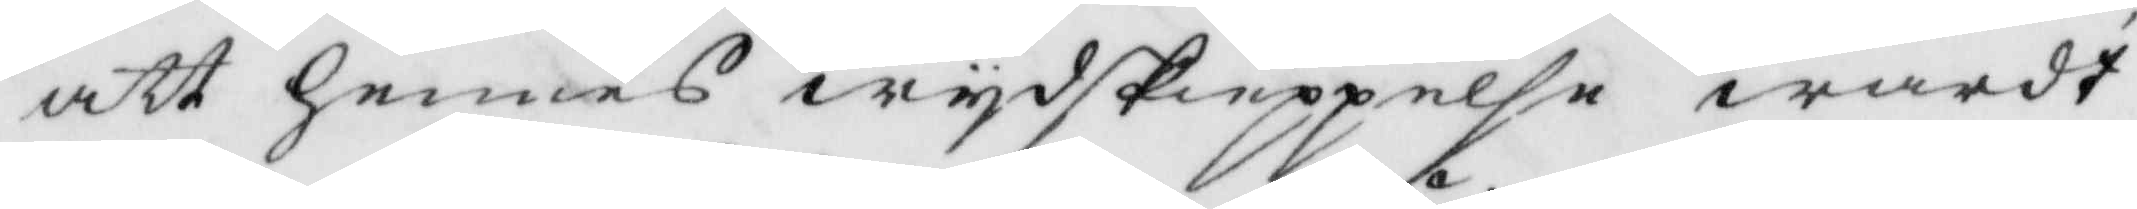att hennes wydskieppelse wardt
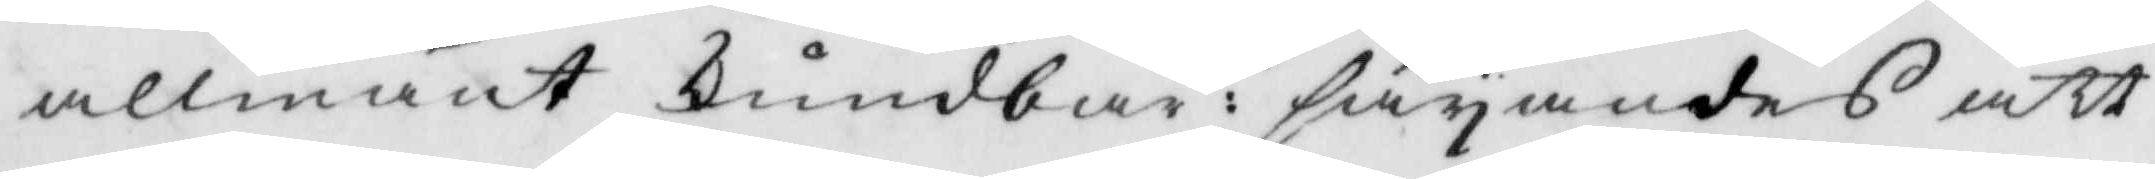allmänt kundbar: säyandes att
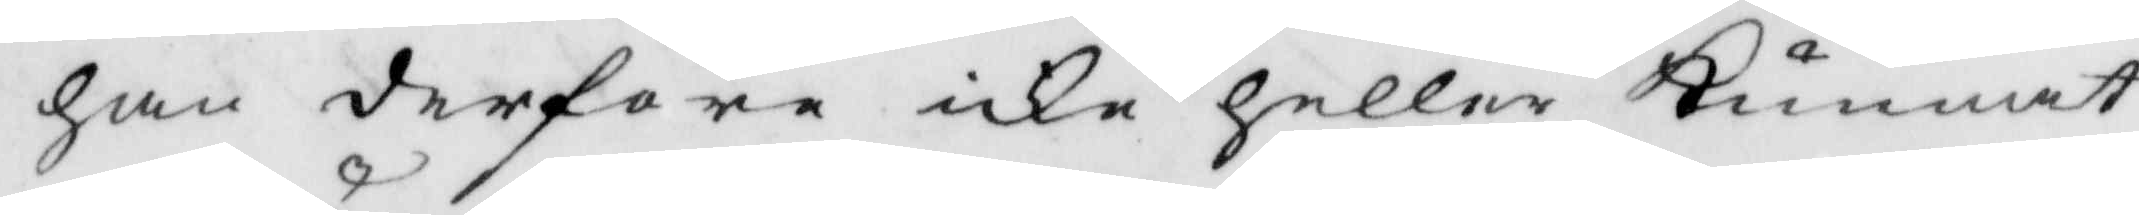han derföre icke heller kunnat
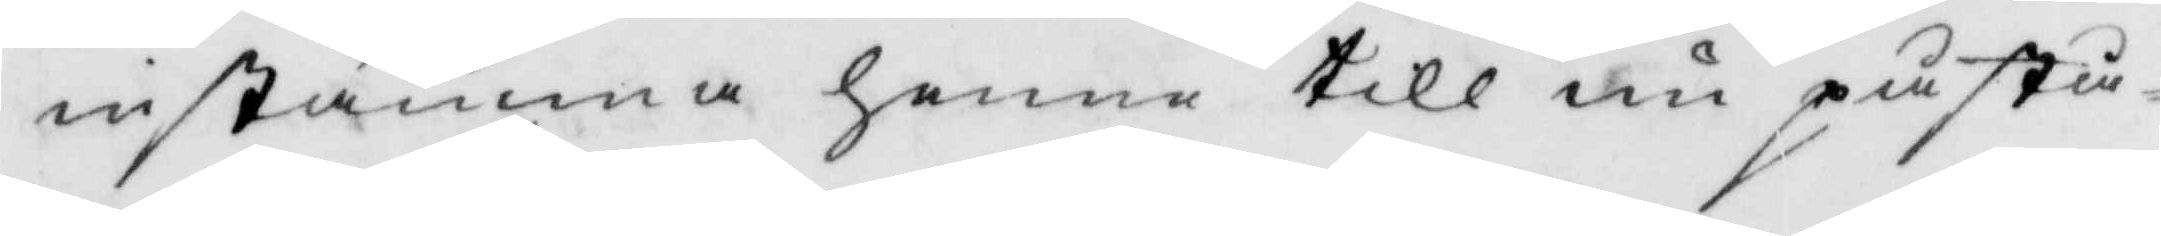instämma henne till nu påstå¬
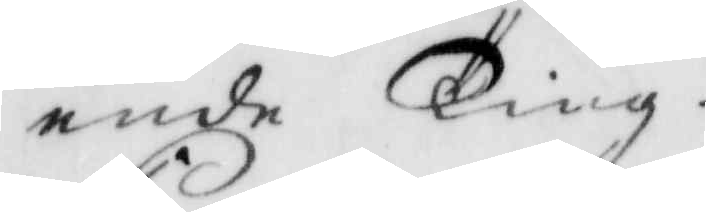ende Ting.
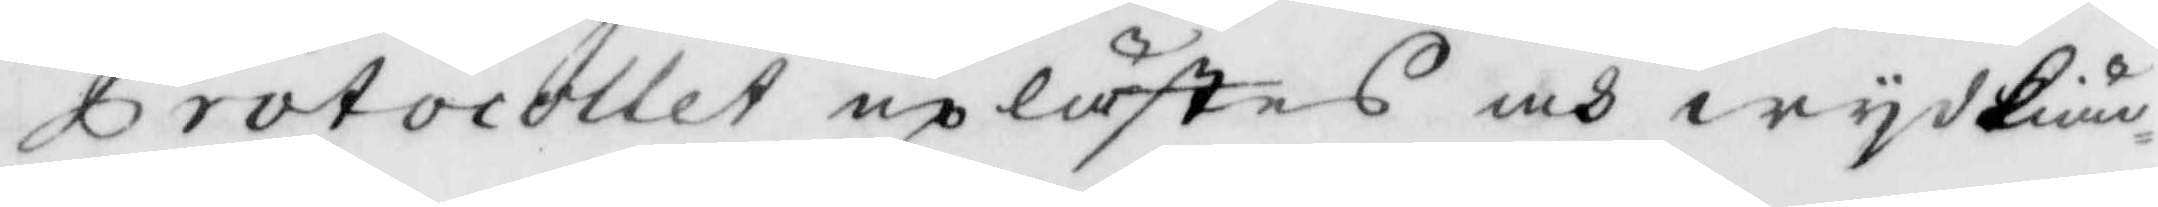Protocollet upöästes och wydkiän¬
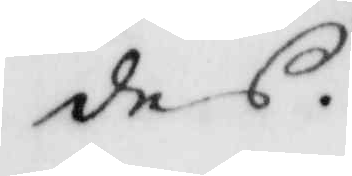des.
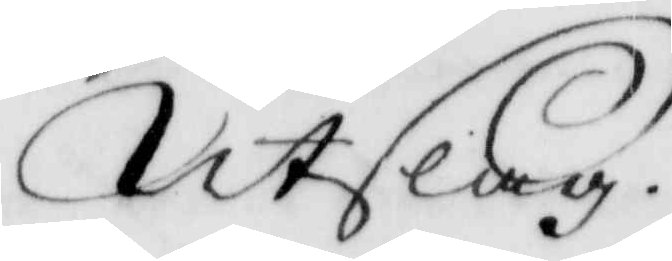Utslag.
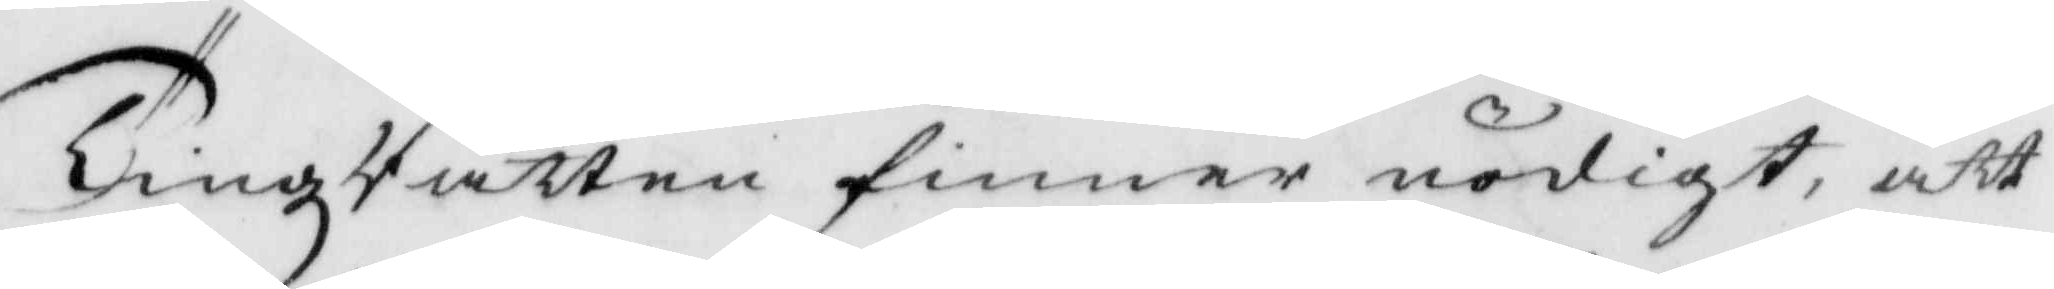TingzRätten finner nödigt, att
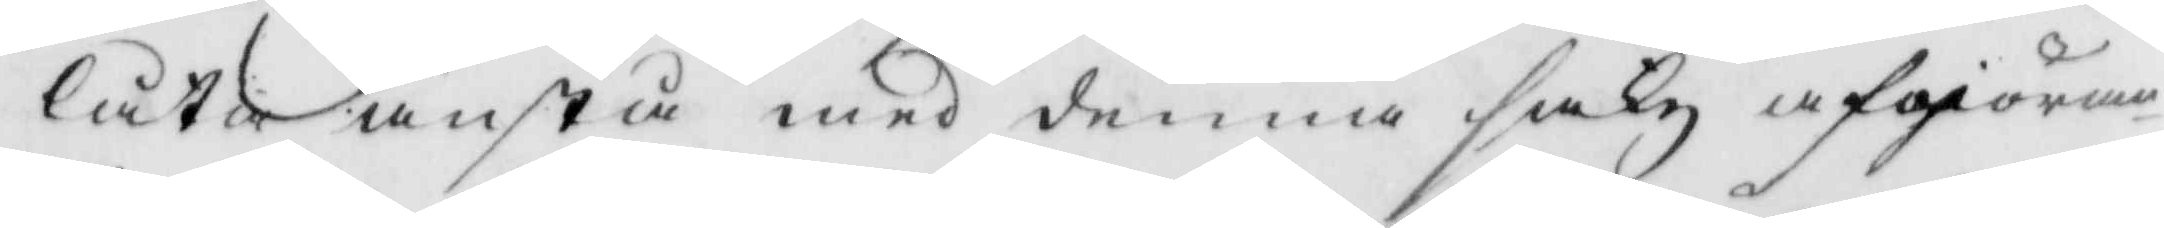låta anstå med denna sakz afgiöran¬
